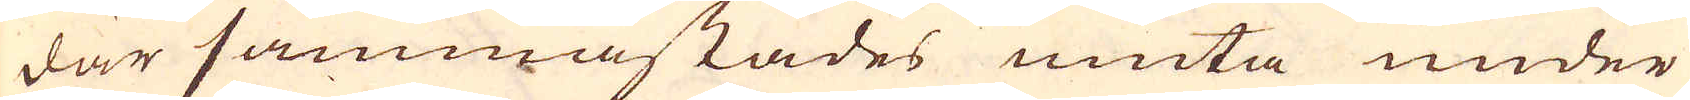där sammastädes niuta under
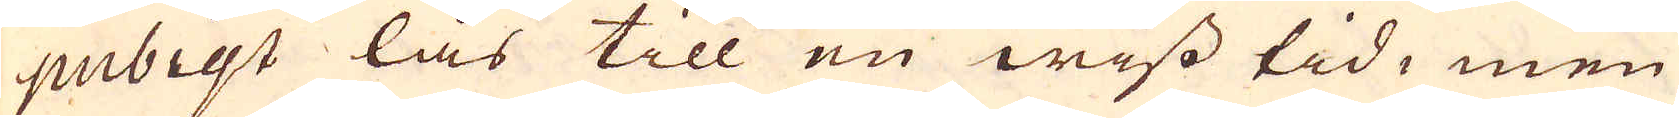pubigt lås till en wiss tid, men
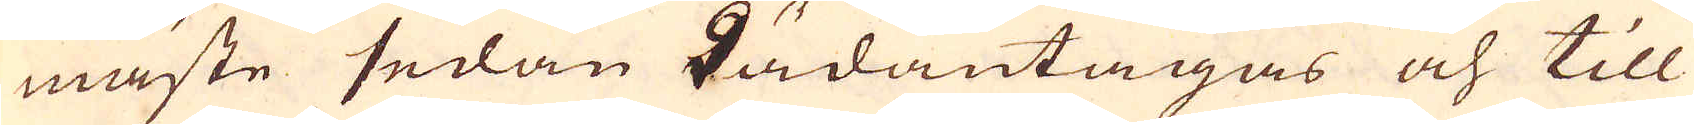måste sedan hädantagas och till
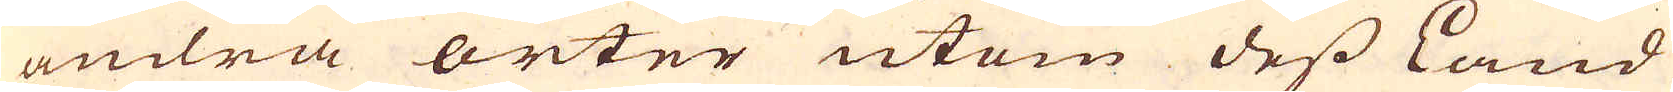andra orter utom dess Land
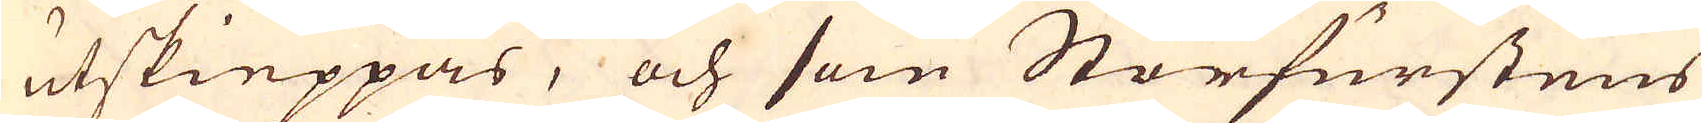utskieppas, och som Storfurstens
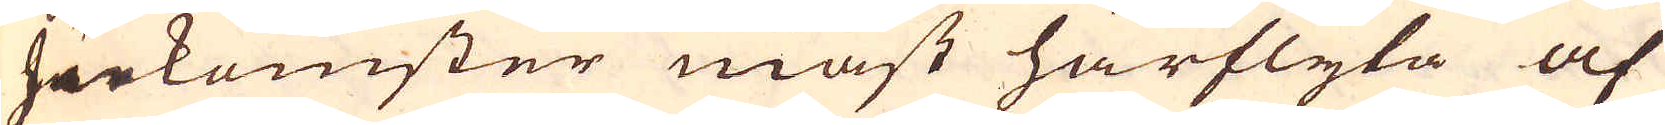Inkomster mäst härflyta af
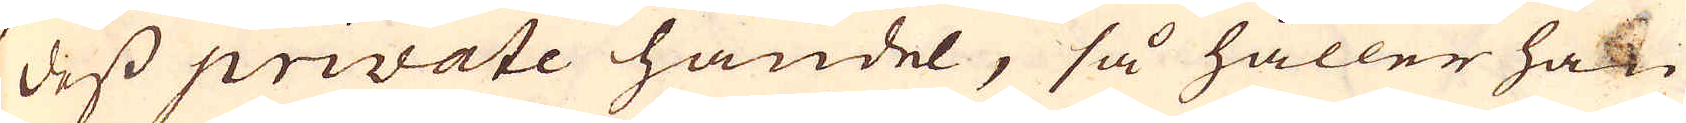dess private handel, så håller han
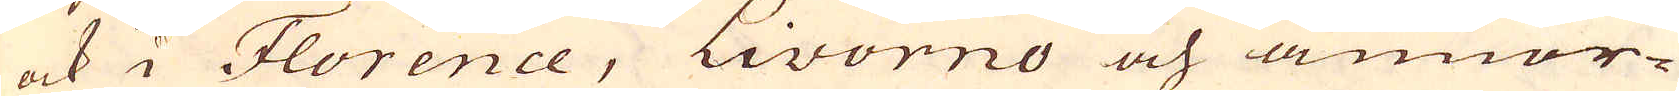ock i Florence, Livorno och annor-
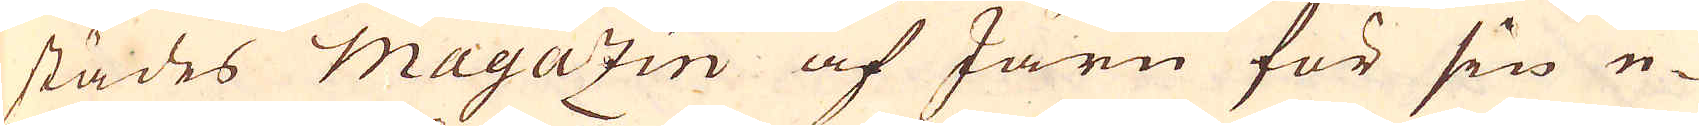städes magazin af Järn för sin e-
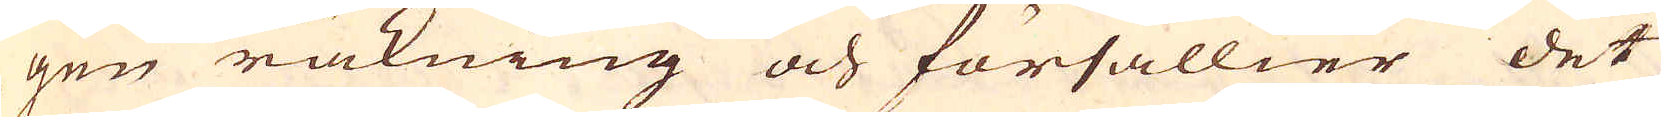gen räkning och försällier det
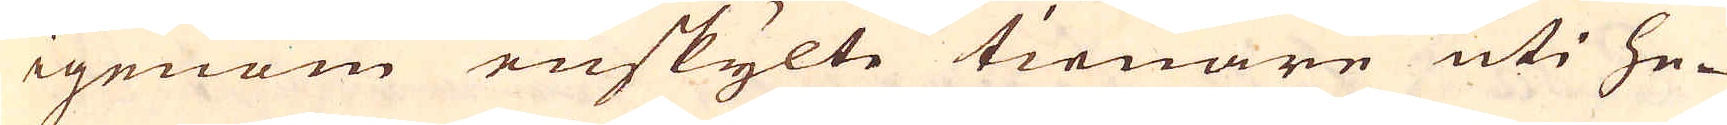igenom enskylte tienare uti he-
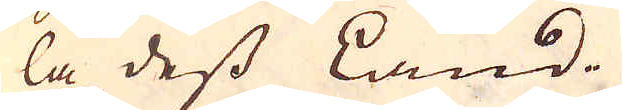la dess Land.
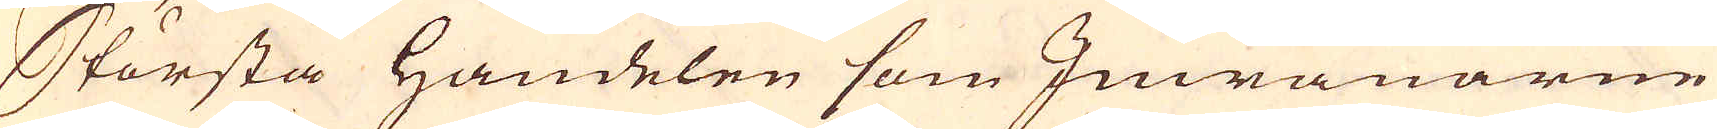Största Handelen som Inwånarne
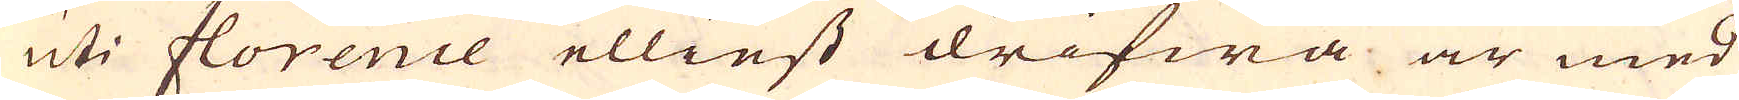uti florence elliest drifwa är med
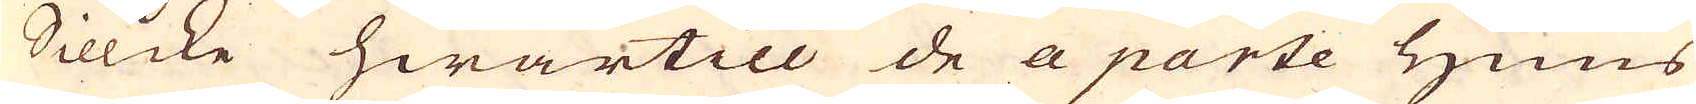Sillcke hwartill de a parte huus
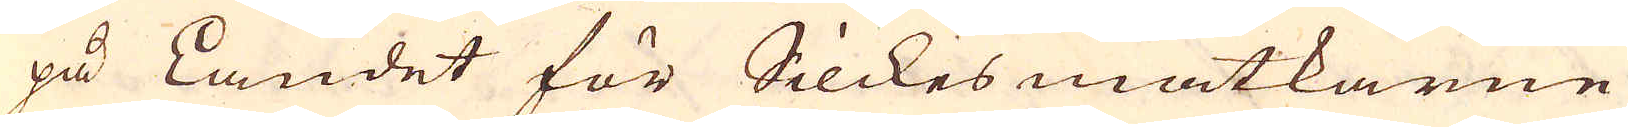på Landet för Silckes matkarne
